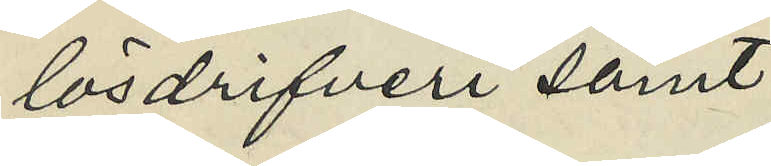lösdrifveri samt
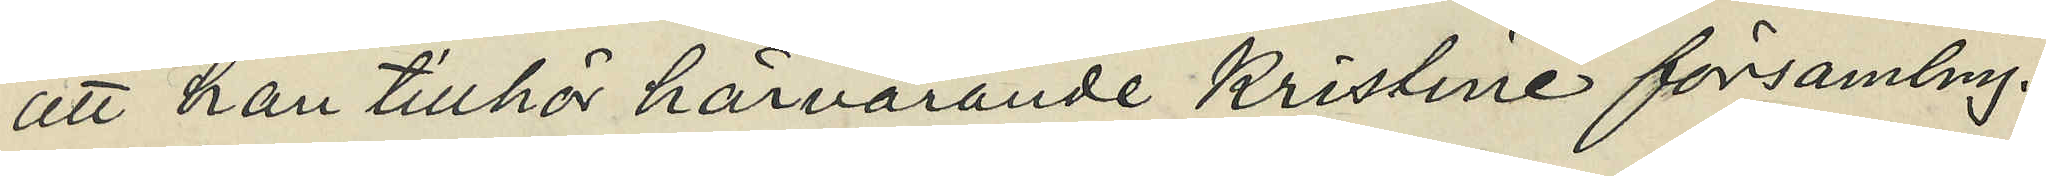att han tillhör härvarande Kristine församling.
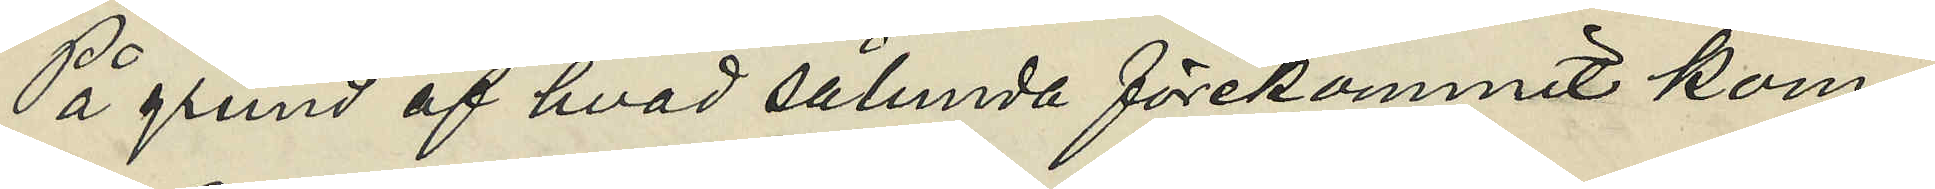På grund af hvad sålunda förekommit kom¬
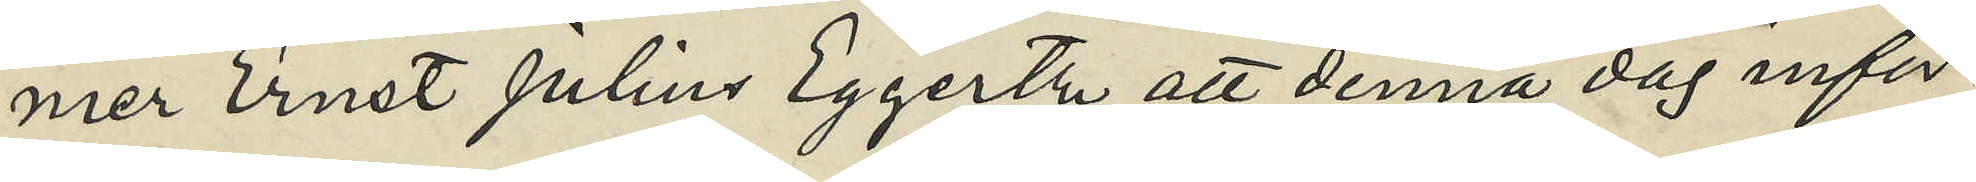mer Ernst Julius Eggertz att denna dag inför
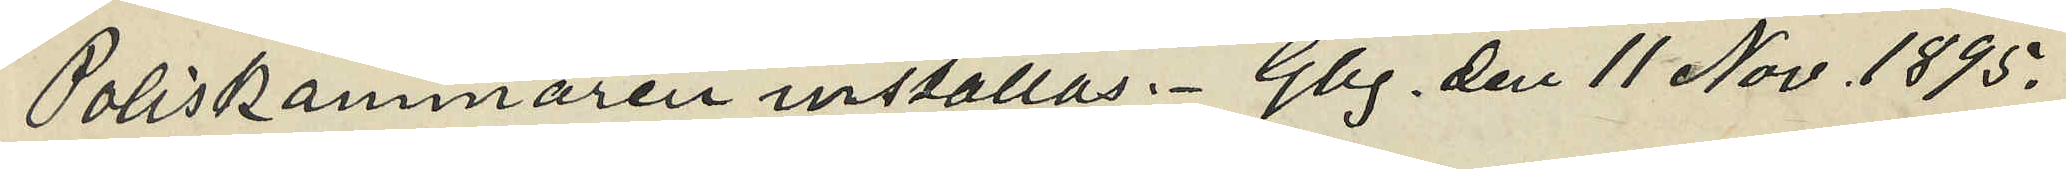Poliskammaren inställas. Gbg. den 11 Nov. 1895.
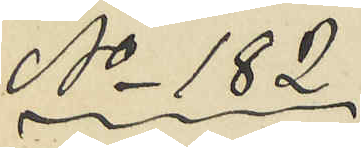No 182
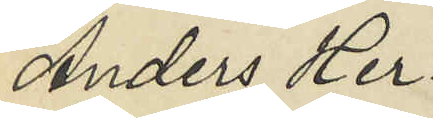Anders Her¬
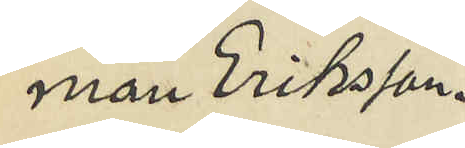man Eriksson.
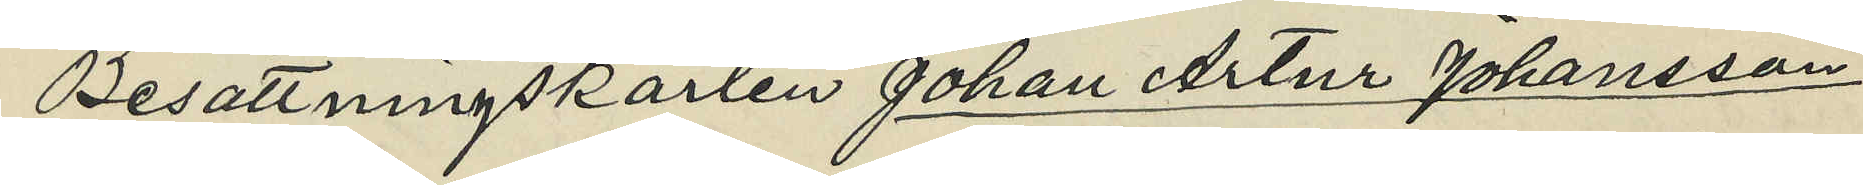Besättningskarlen Johan Artur Johansson,
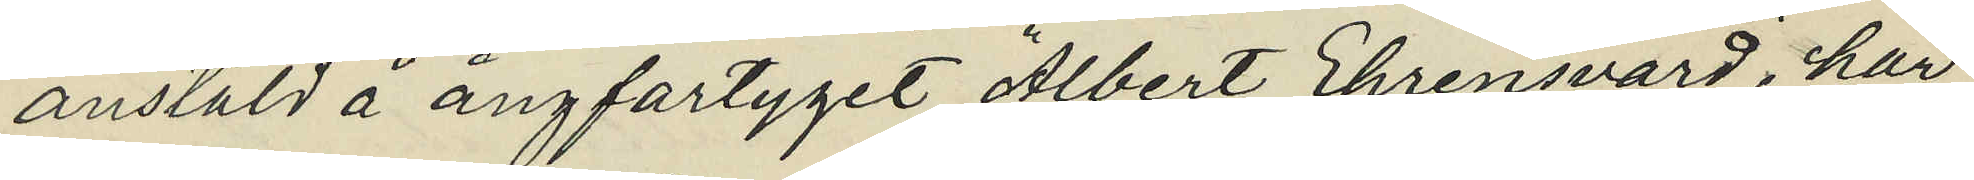anstäld å ångfartyget "Albert Ehrensvärd", har
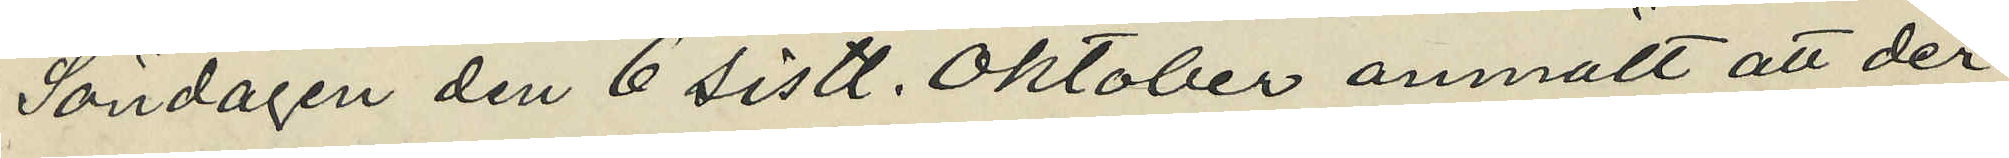Söndagen den 6 sistl. Oktober anmält att der¬
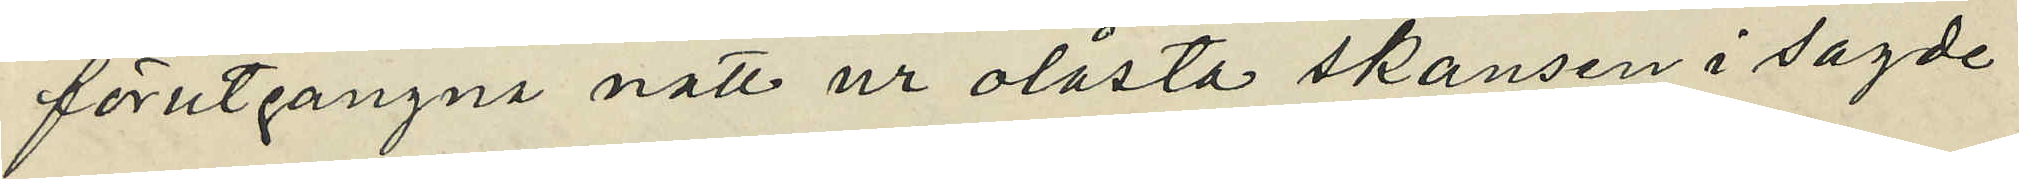förutgångne natt ur olåsta skansen i sagde
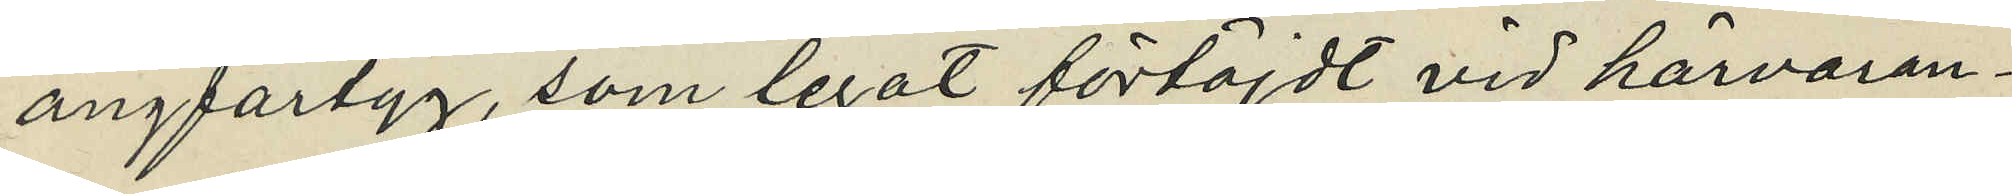ångfartyg, som legat förtöjdt vid härvaran¬
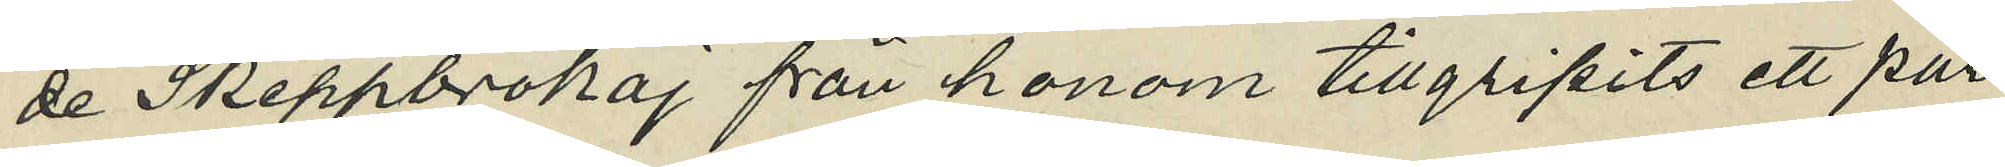de Skeppsbrokaj från honom tillgripits ett par
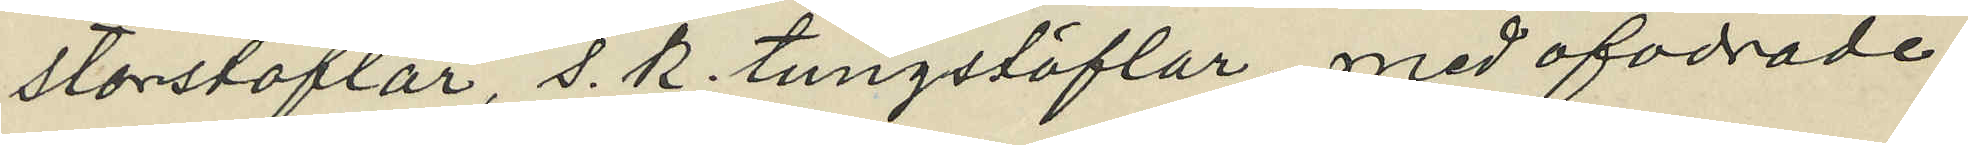storstöflar, s. k. tungstöflar med ofodrade
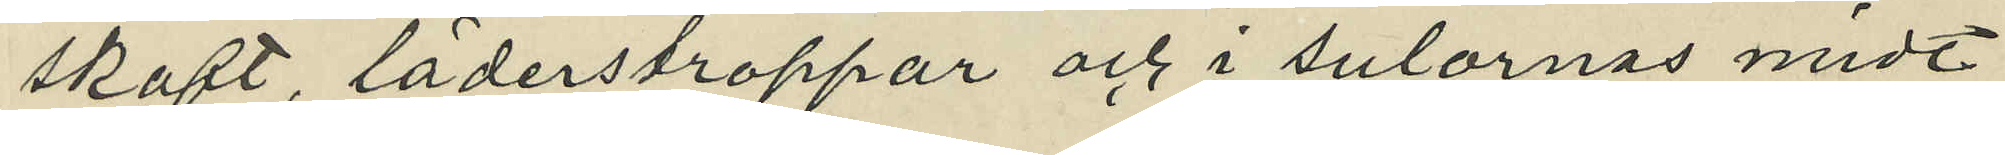skaft, läderstroppar och i sulornas midt
